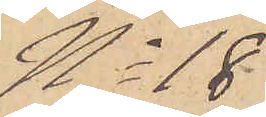No 18
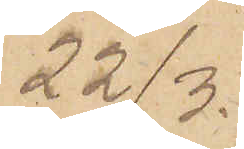22/3.
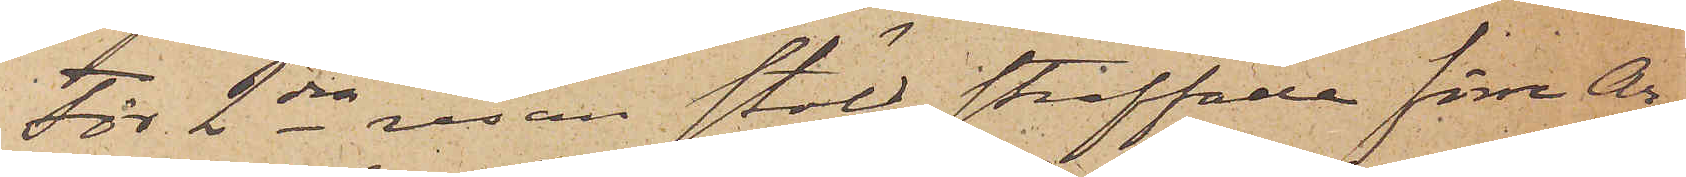För 2dra resan stöld straffade förre Ar¬
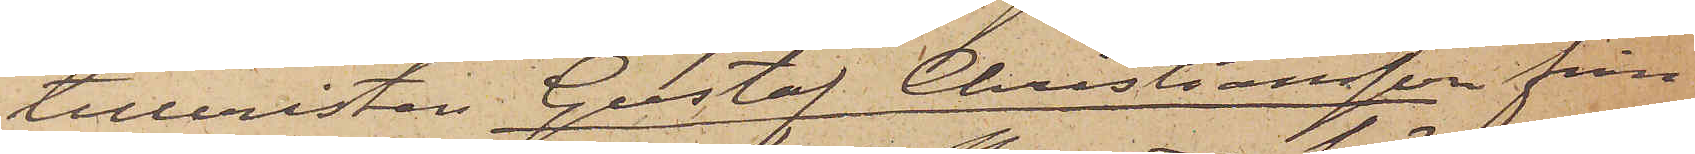tilleristen Gustaf Christiansson från
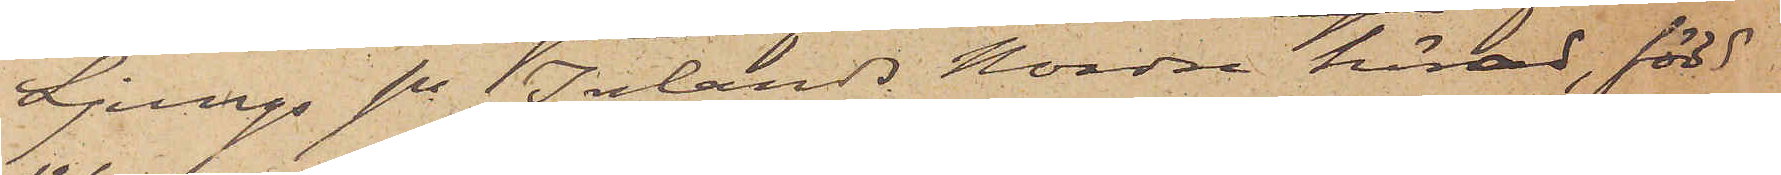Ljungs sn Inlands Nordre härad, född
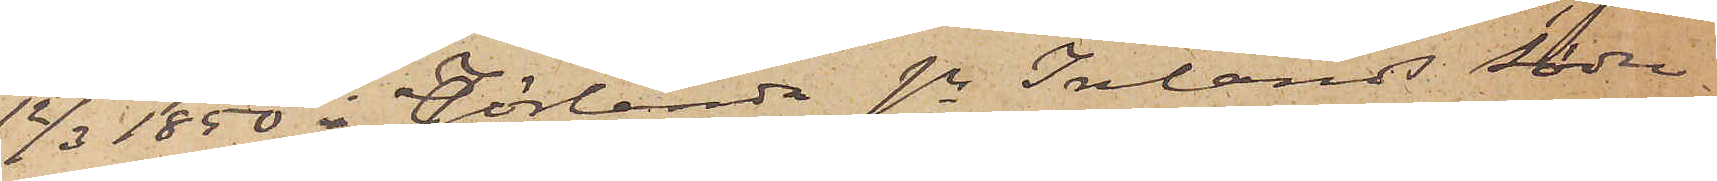12/3 1850 i Jörlanda sn Inlands Södra
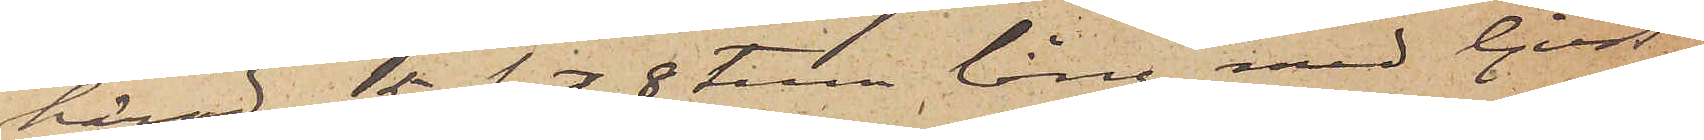härad, 5 fot 8 tum lång med ljust
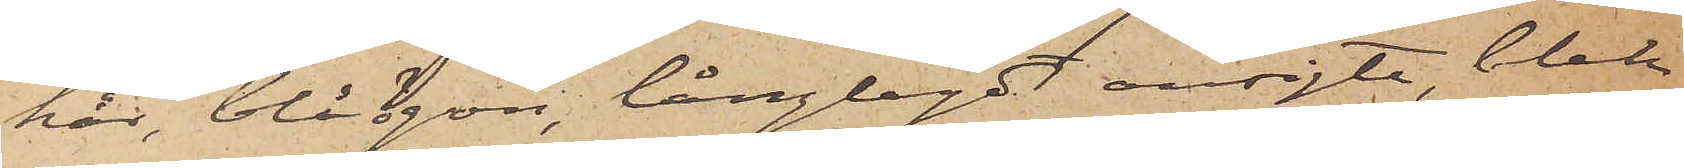hår, blå ögon, långlagdt ansigte, blek
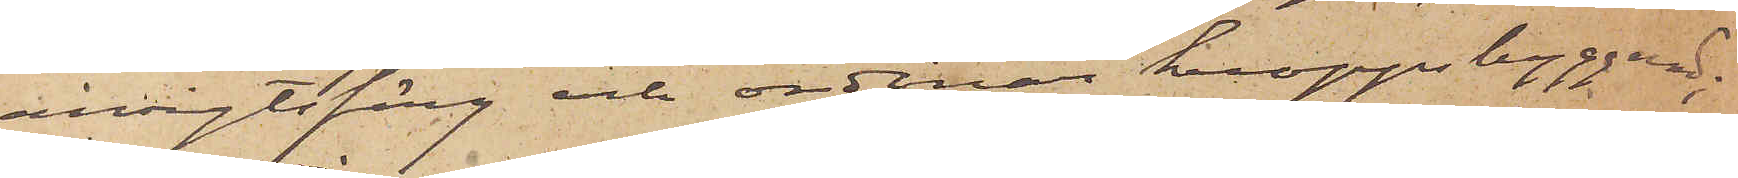ansigtsfärg och ordinär kroppsbyggnad;
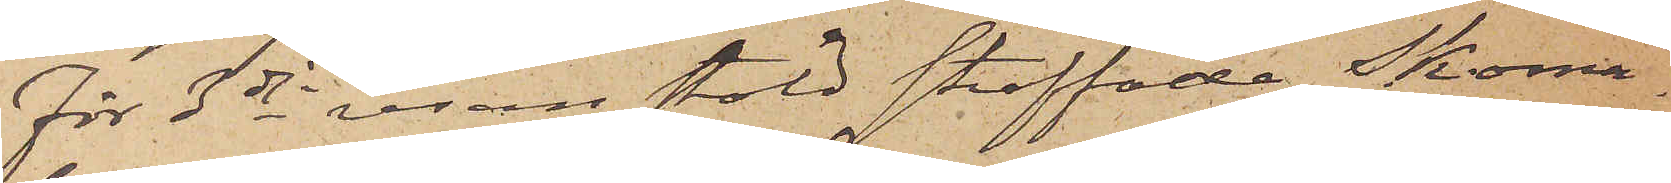För 3dje resan stöld straffade Skoma¬
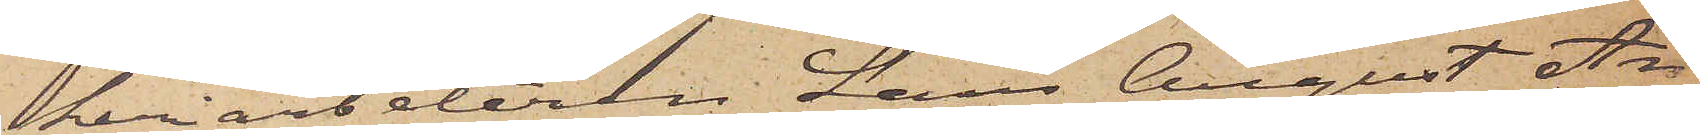keriarbetaren Lars August An¬
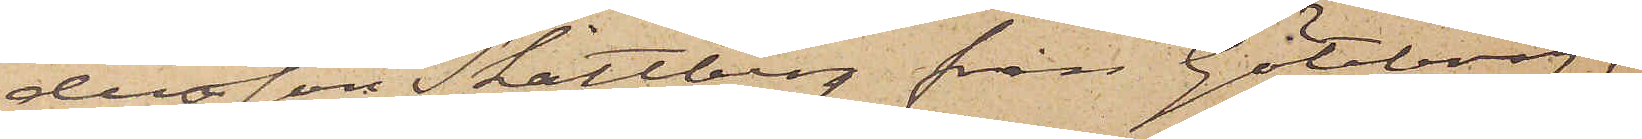dersson Skattberg från Göteborg,
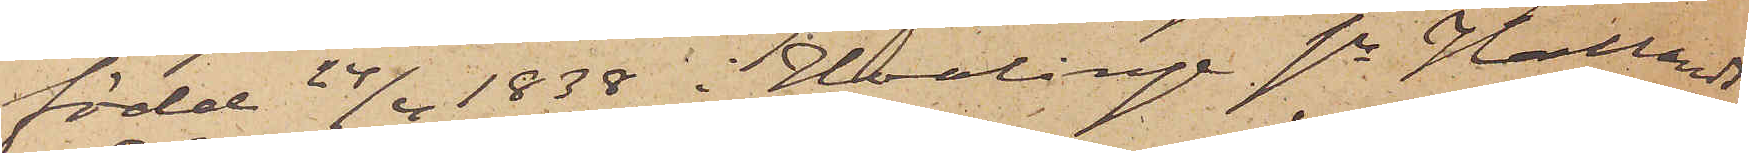född 24/4 1838 i Hvalinge sn Hallands
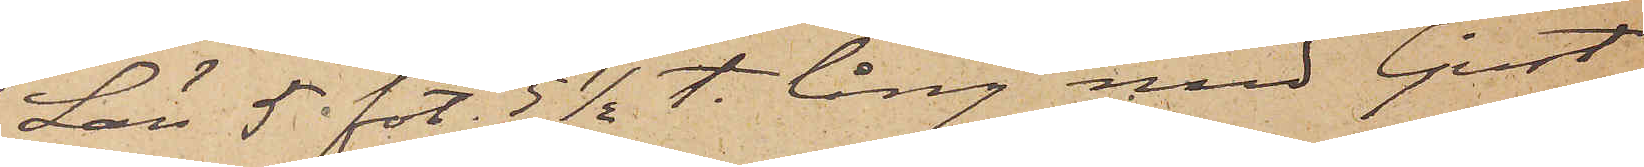Län 5 fot 5 1/2 t. lång med ljust
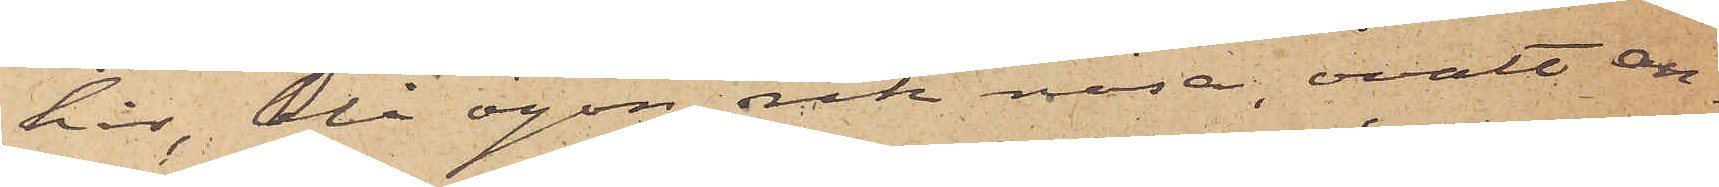hår, blå ögon, rak näsa, ovalt an¬
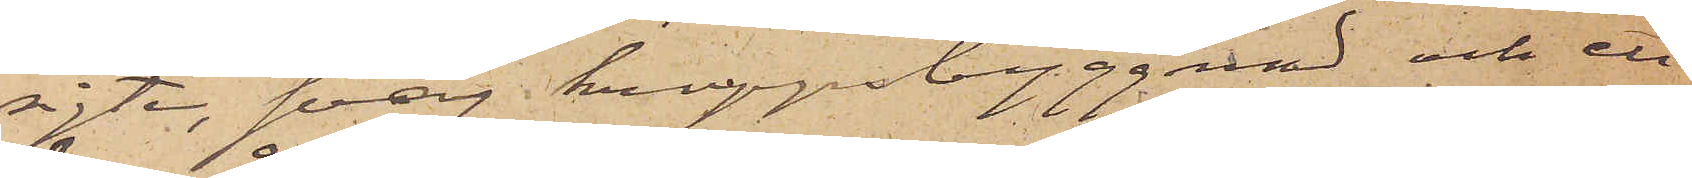sigte, svag kroppsbyggnad och ett
